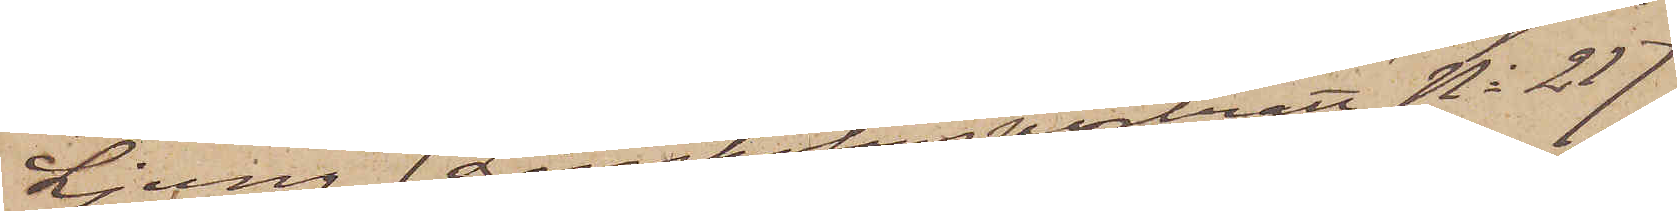Ljung (Långholmsporträtt No 217
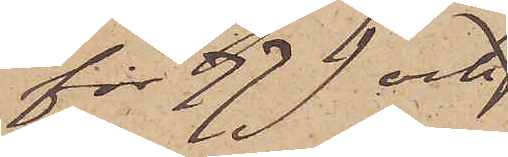för 77) och
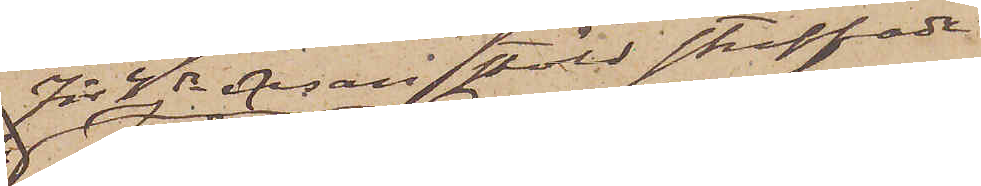för 4de resan stöld straffade
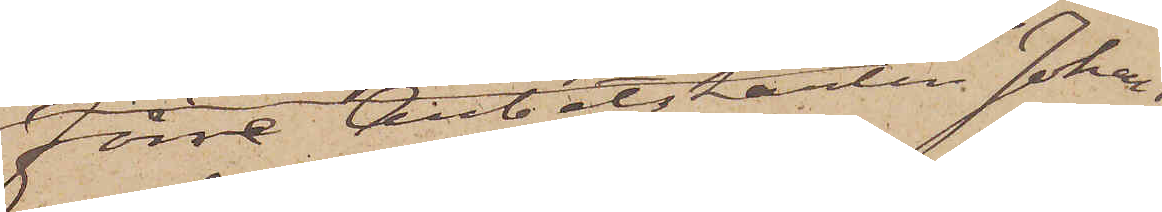Förre Arbetskarlen Johan
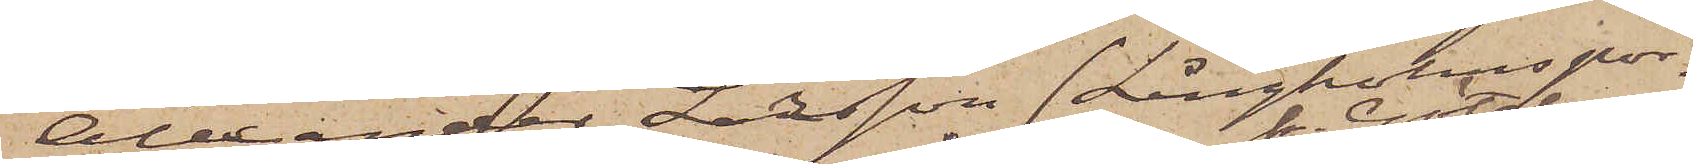Alexander Larsson (Långholms por¬
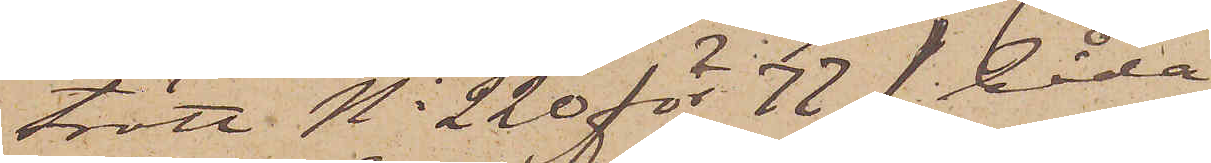trätt No 220 för 77) båda
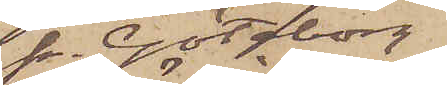fr. Göteborg
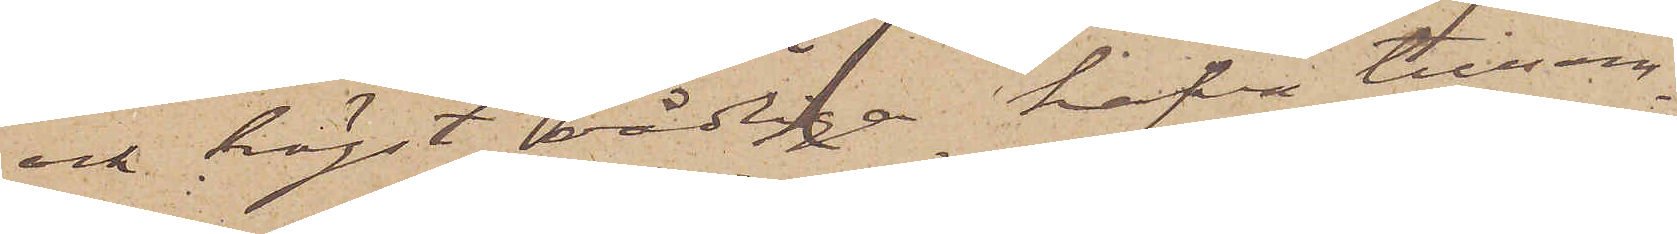och högst vådliga hafva tillsam¬
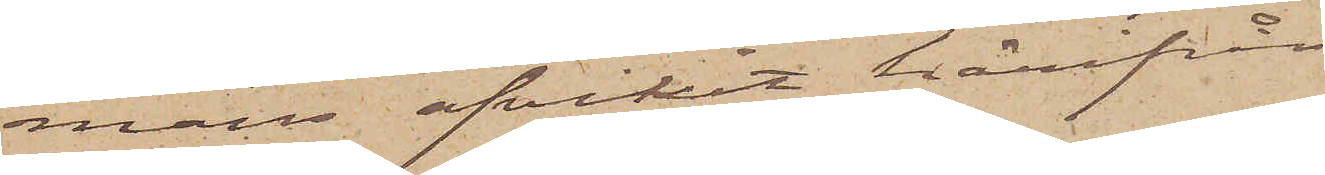mans afvikit härifrån.
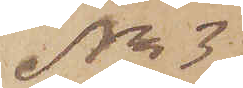No 3
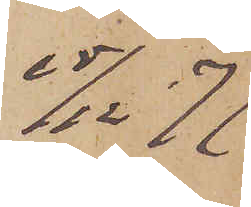15/12 77.
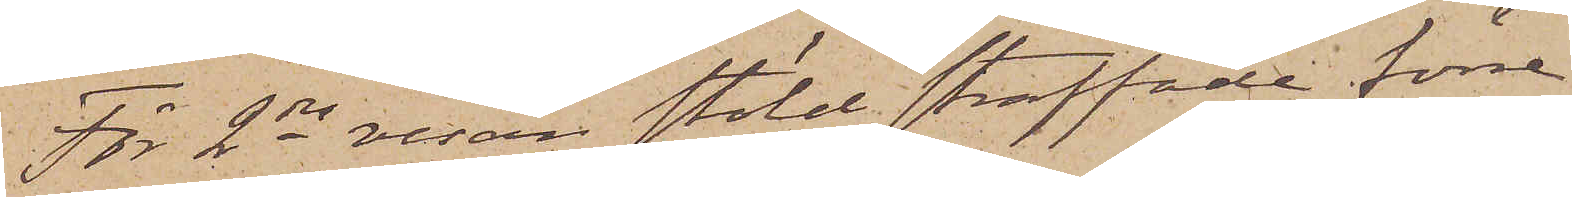För 2dra resan stöld straffade förre
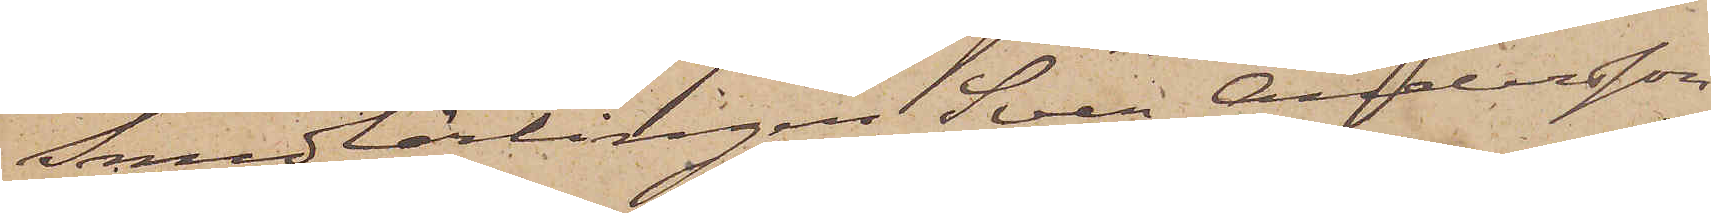Smedlärlingen Sven Andersson
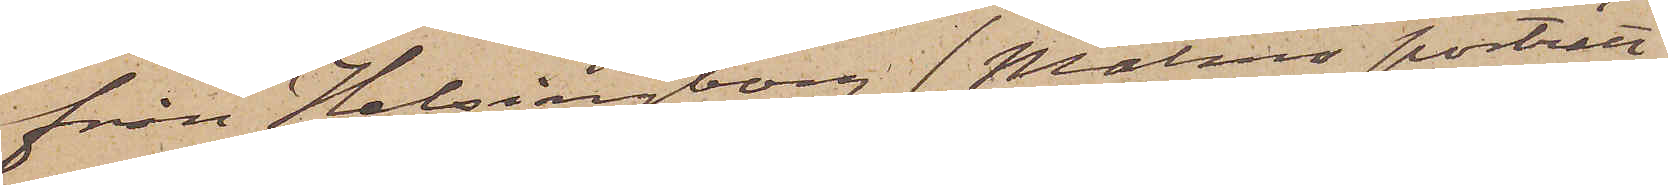från Helsingborg ( Malmö porträtt
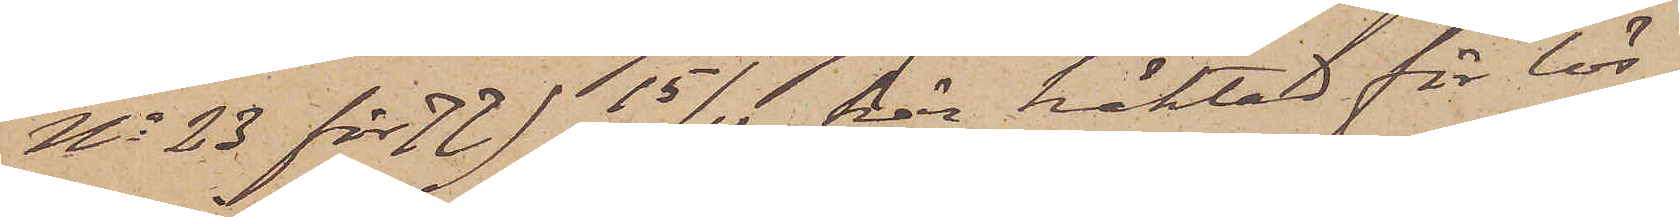No 23 för 77) 15/12 här häktad för lös¬
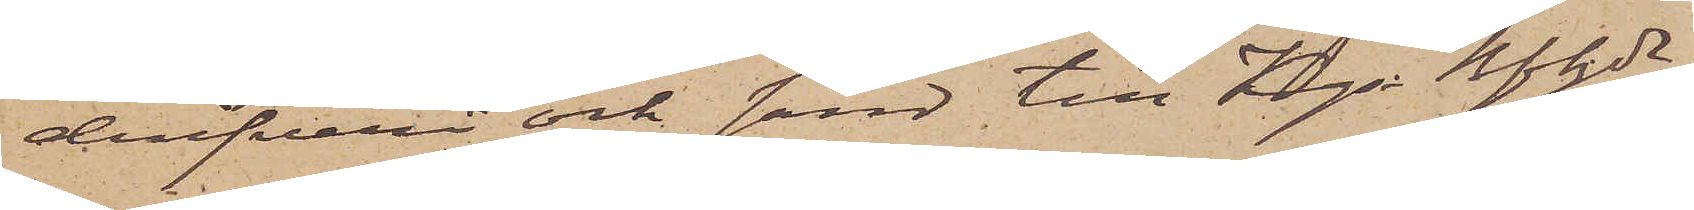drifveri och sänd till Kgs Bfhde
